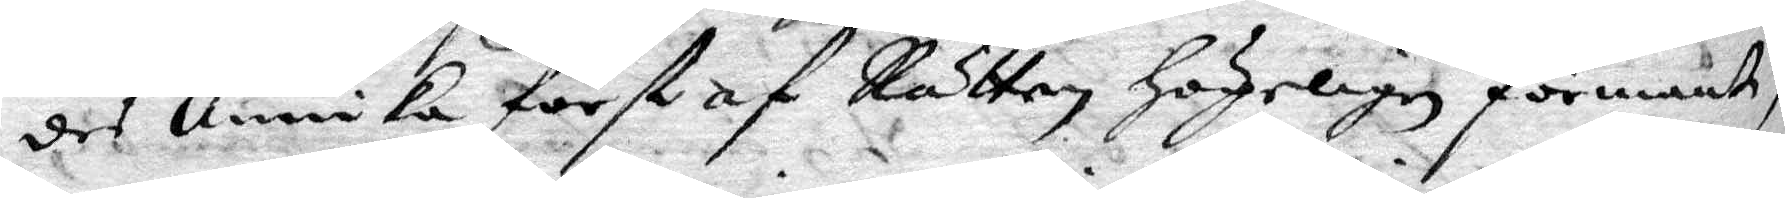des Annika först af Rätten högeligen förmandt,
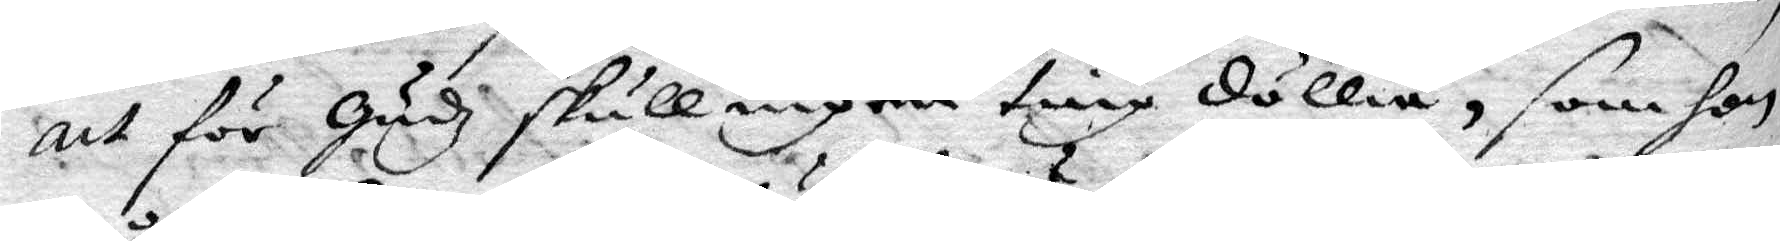att för Gudz skull ingen ting döllia, som hon
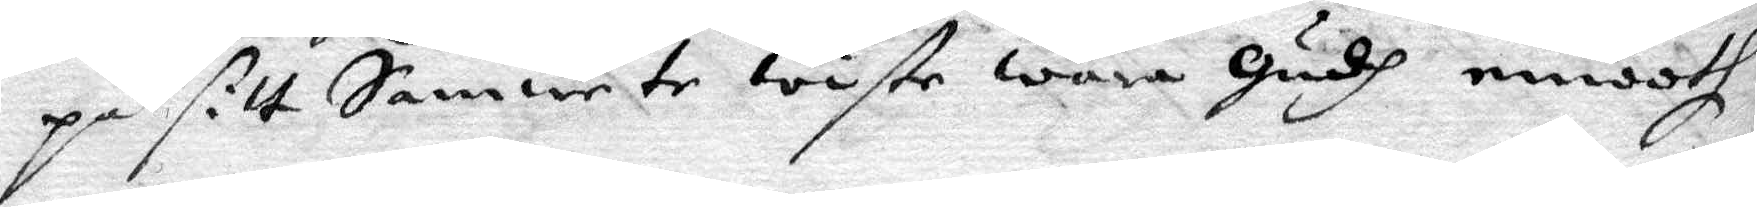på sitt Samwete wiste wara gudh emooth
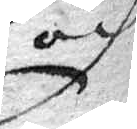och
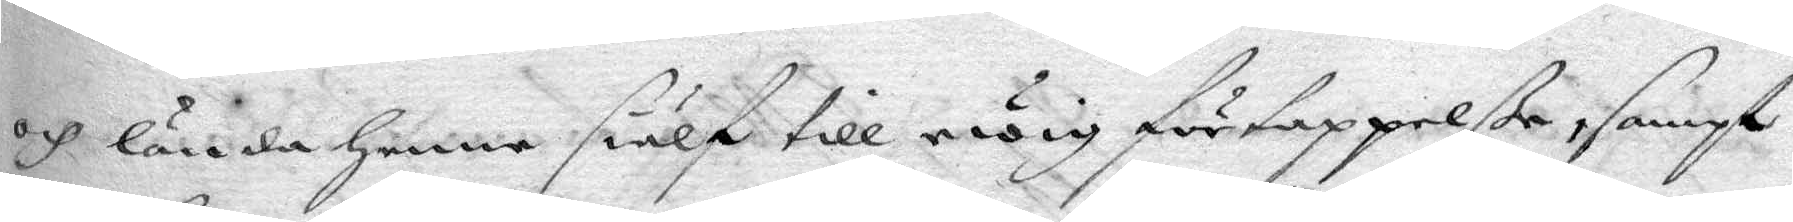och lända henne siälf till ewig förtappelße, sampt
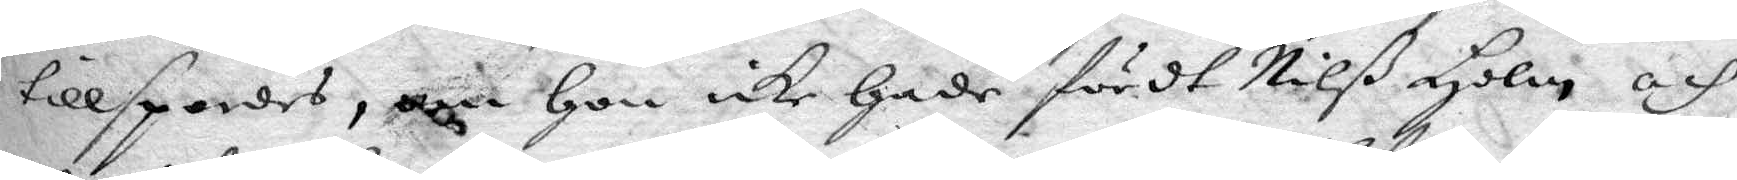tillspordes, om hon icke hade fördt Nilß Holm och
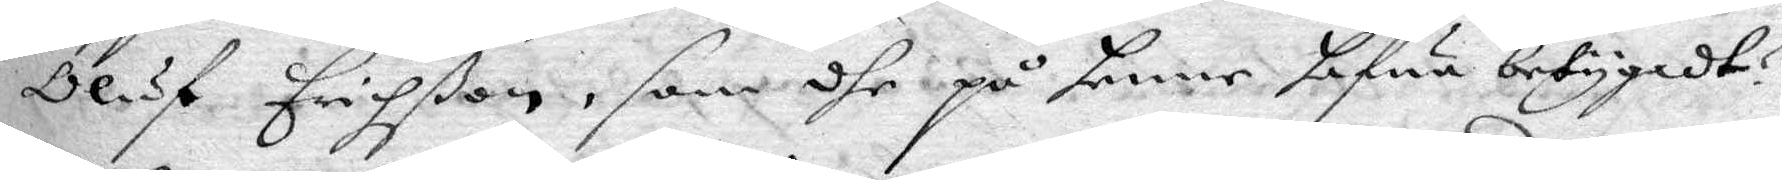Oluf Erichßon, som dhe på henne hafua betygadt?
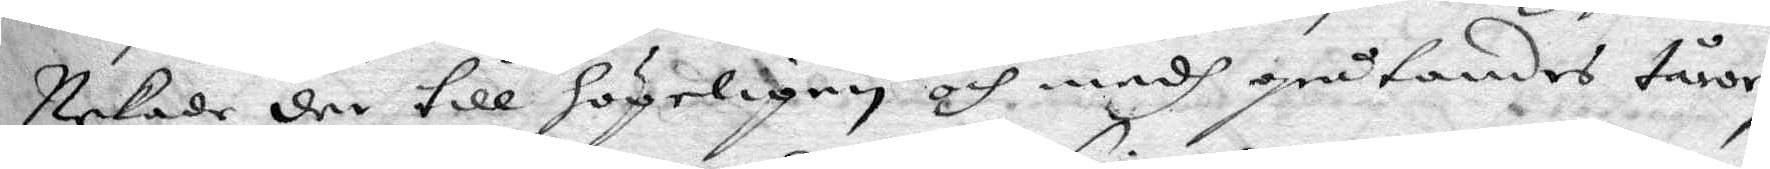Nekade der till högeligen och medh gråtandes tårar,
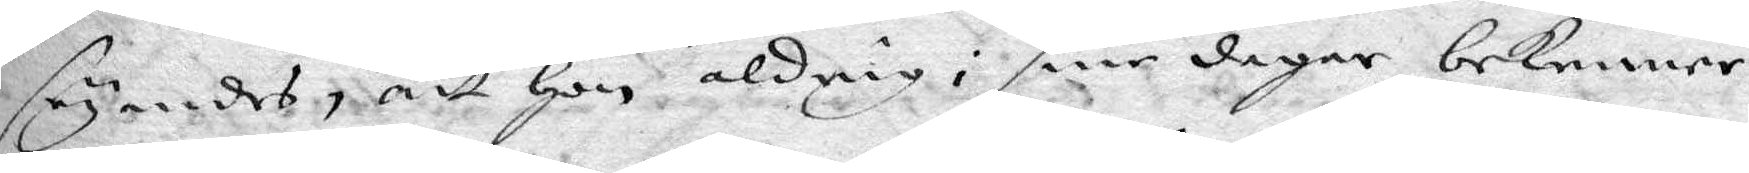seyandes, att hon aldrig i sine dagar bekenner
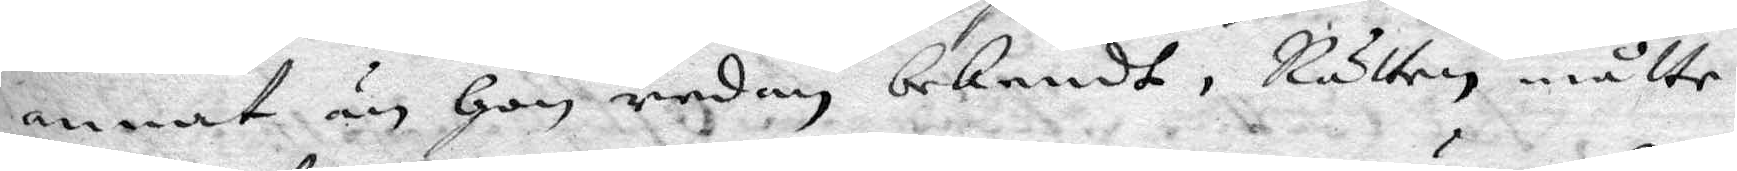annat än hon redan bekendt, Rätten måtte
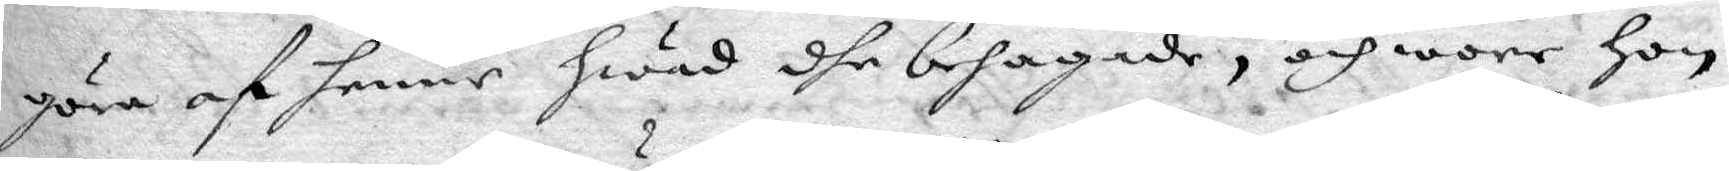göra af henne hwad dhe behagade, och wore hon
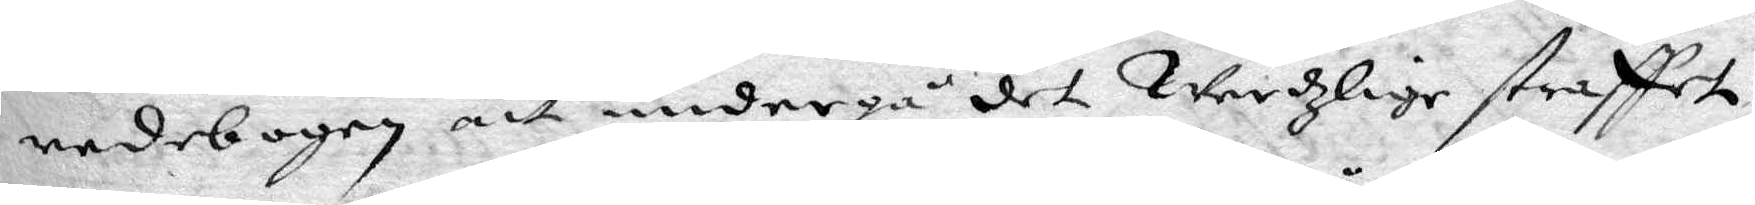redebogen att undergå det Werszlige straffen
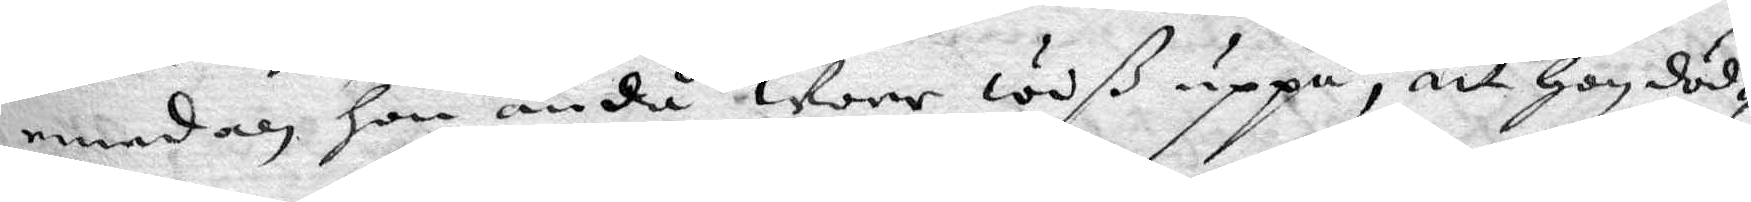emedan hon ändå wore wiß uppå, att hon död¬
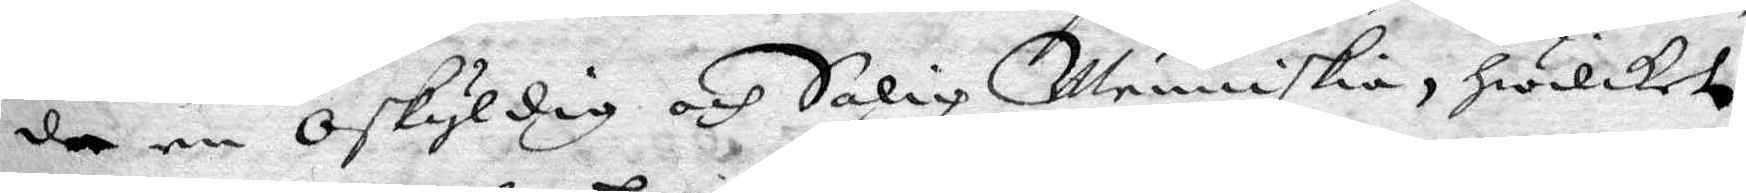de en Oskyldig och Salig Menniskia, hwilket
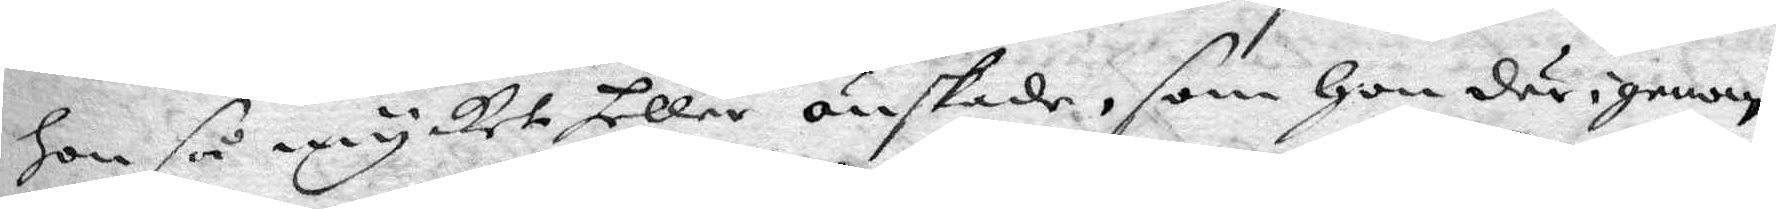hon så mycket heller önskade, som hon därigenom
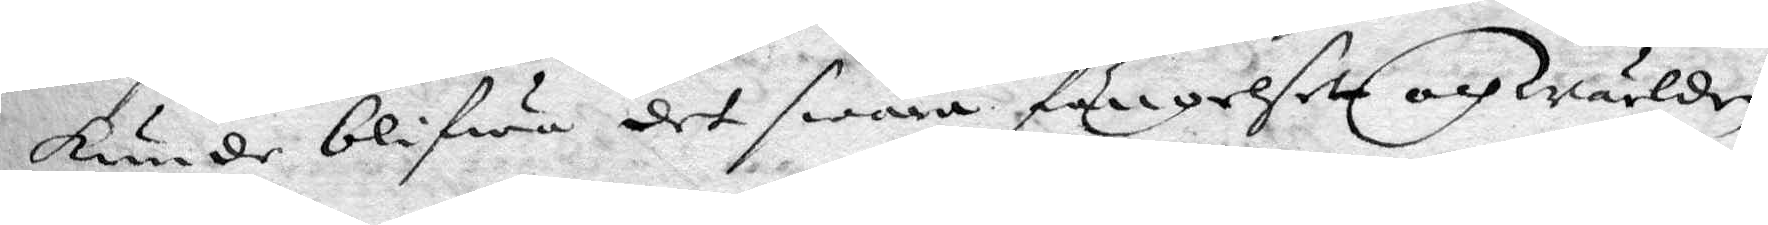kunde blifwa det swåra fängelsett och Wärlden
